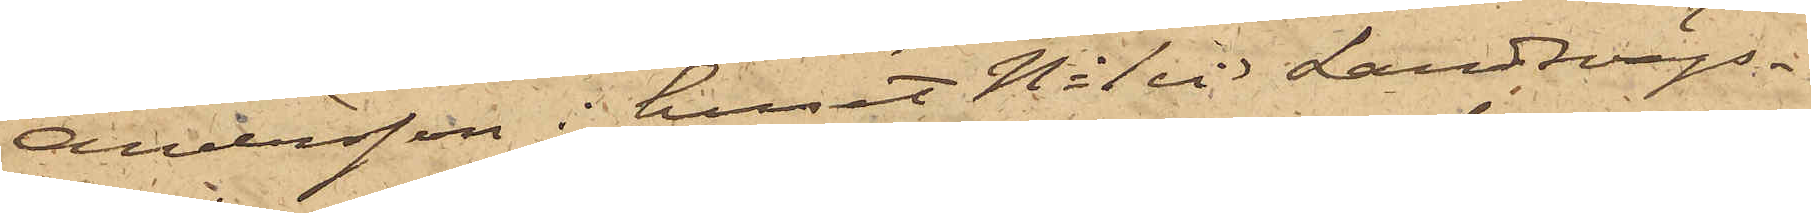Andersson i huset No 1 vid Landsvägs¬
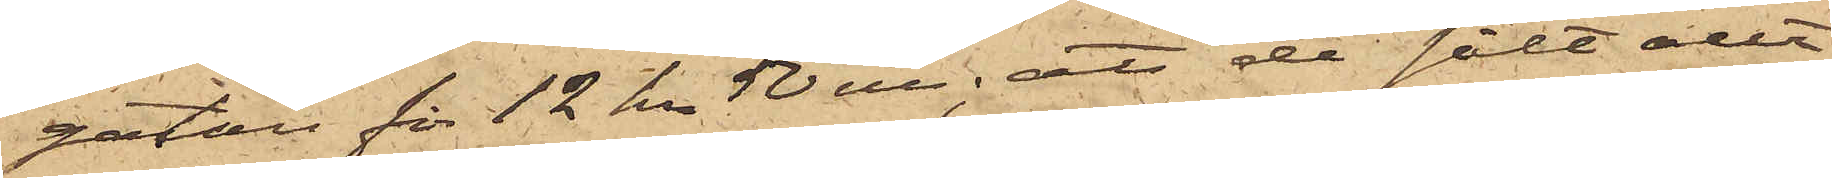gatan för 12 kr 50 öre; att de sålt allt
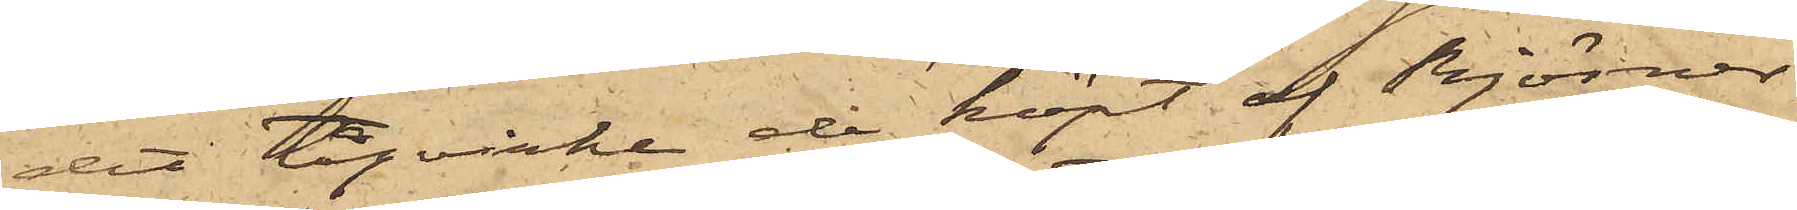det tågvirke de köpt af Björner
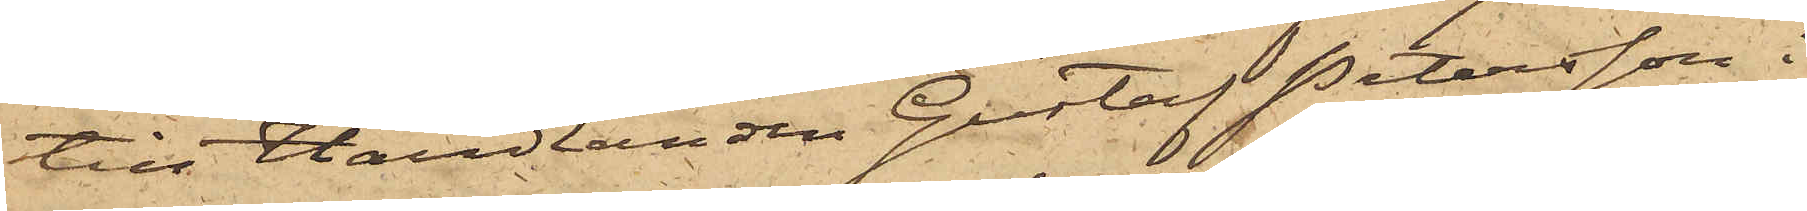till Handlanden Gustaf Petersson i
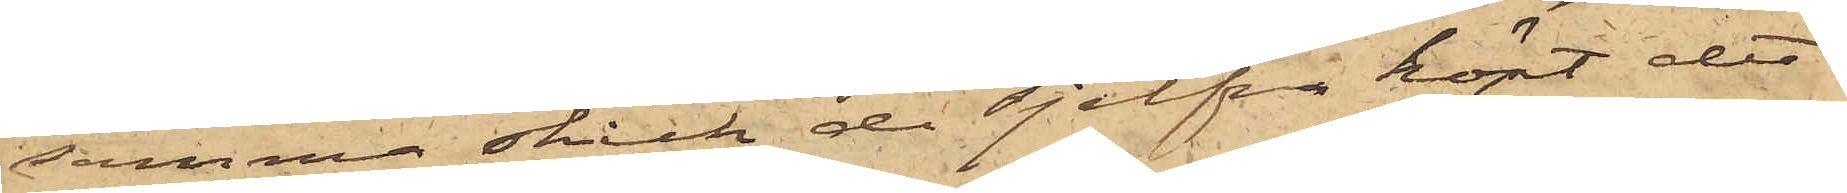samma skick de sjelfva köpt det¬
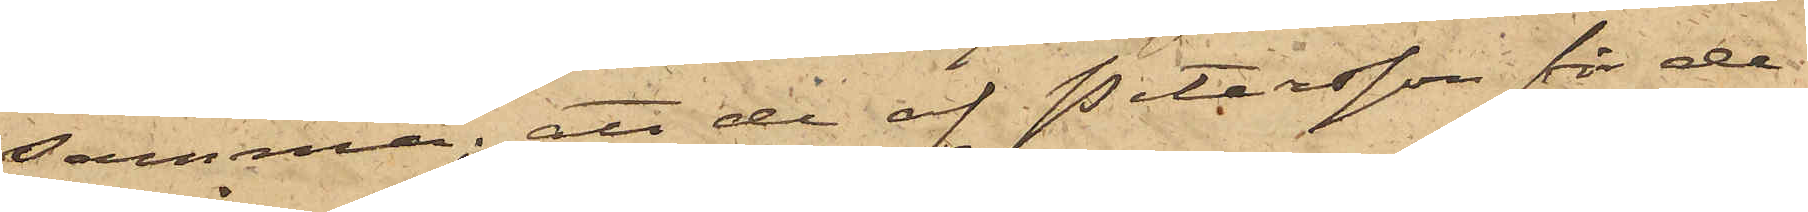samma; att de af Petersson för de
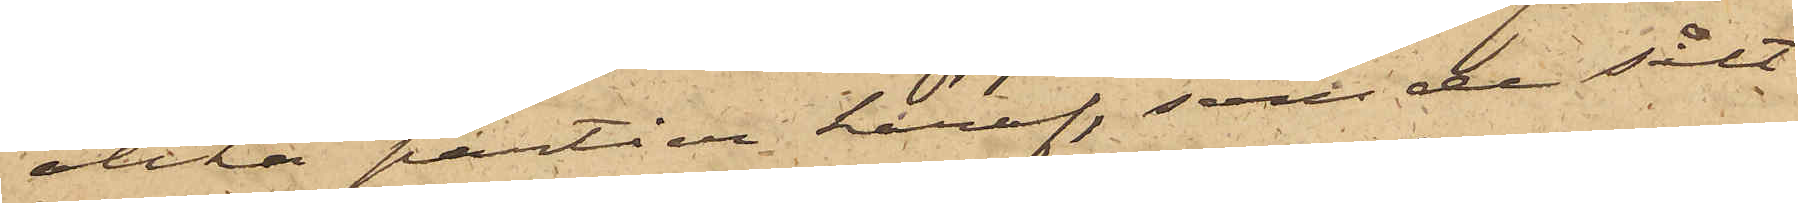olika partier häraf, som de sålt
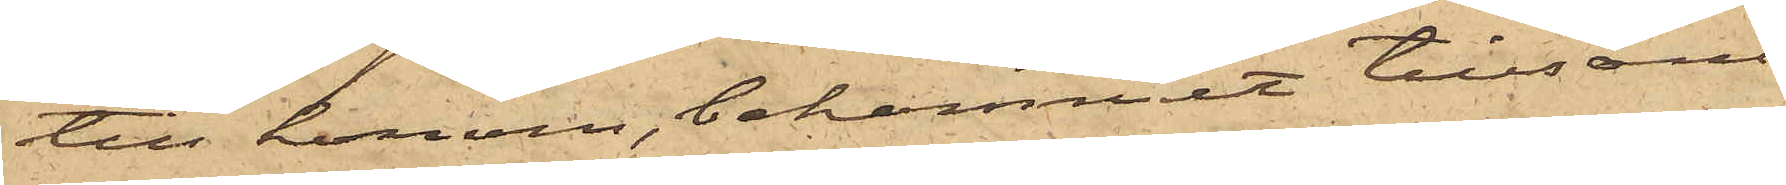till honom, bekommit tillsam¬
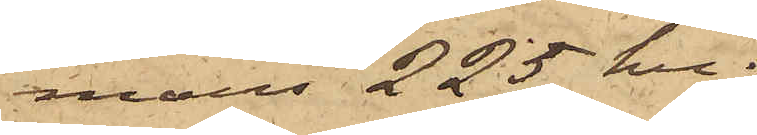mans 225 kr;
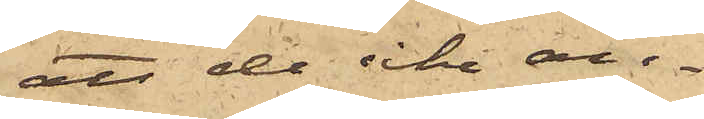att de icke an¬
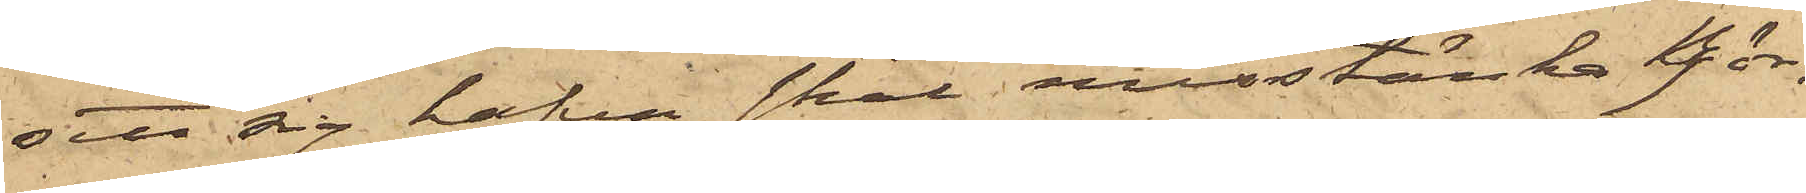sett sig hafva skäl misstänka  Björ¬
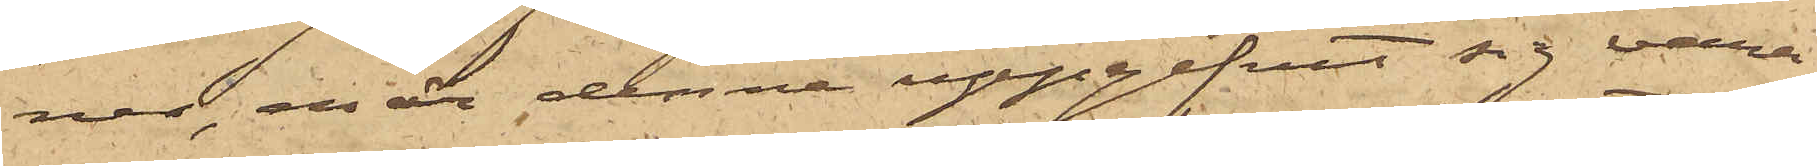ner, enär denne uppgifvit sig vara
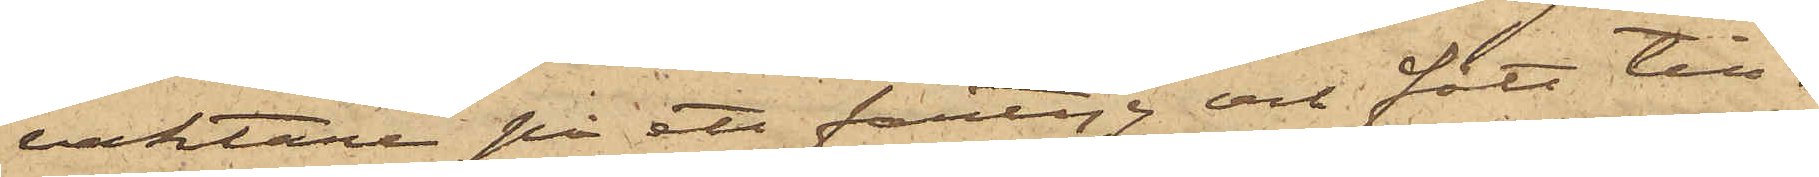vaktare på ett fartyg och fått till¬
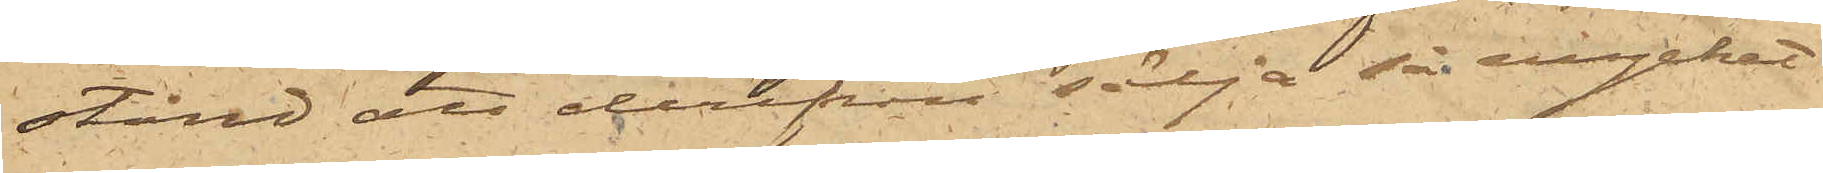stånd att derifrån sälja så mycket
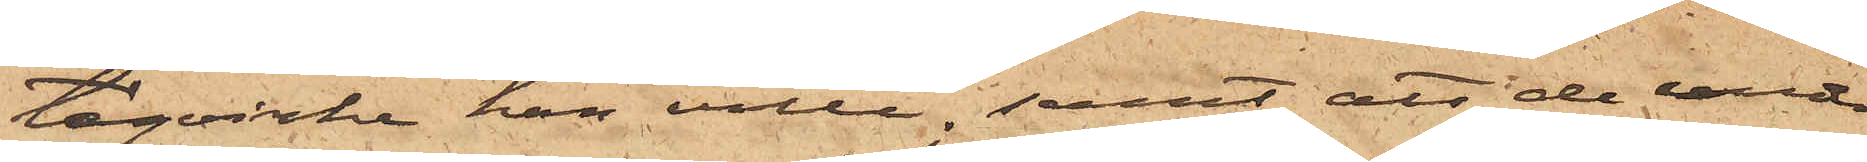tågvirke han ville; samt att de under
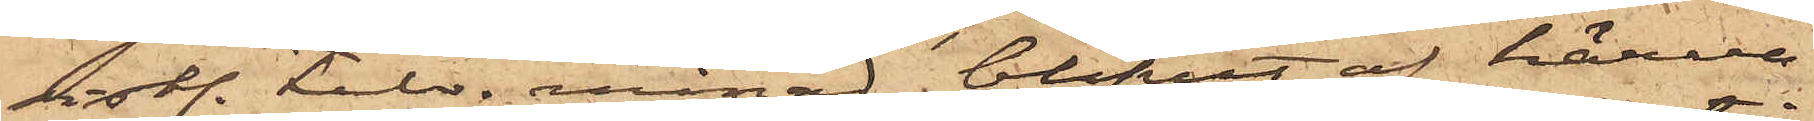sistl. Febr. månad blifvit af härva¬
